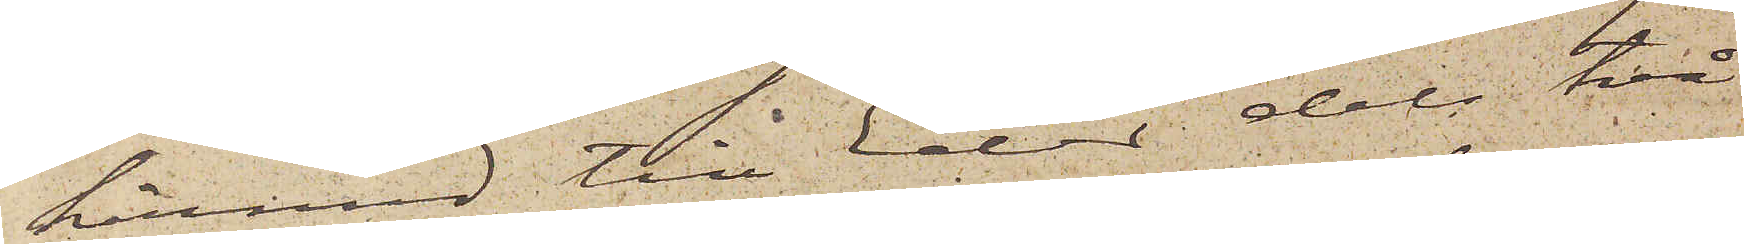härmed till Eder dels två
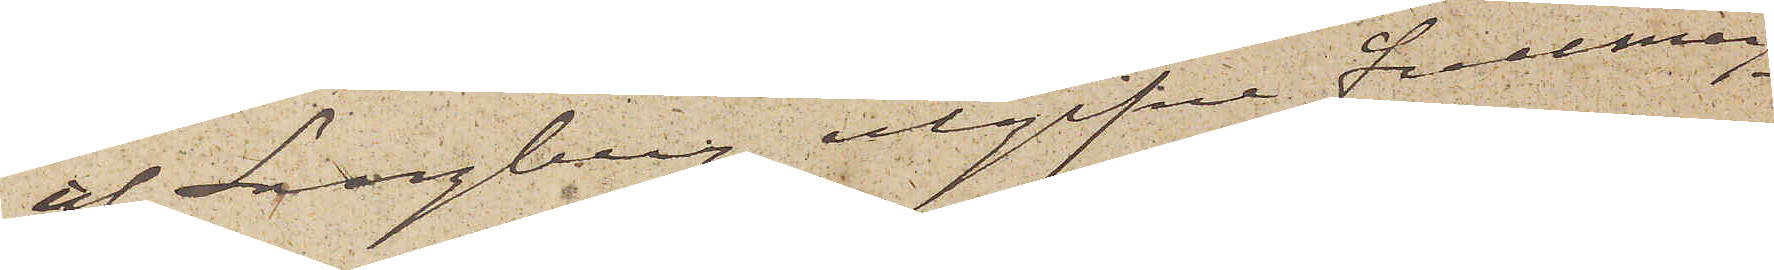af Langberg utgifne fullmag¬
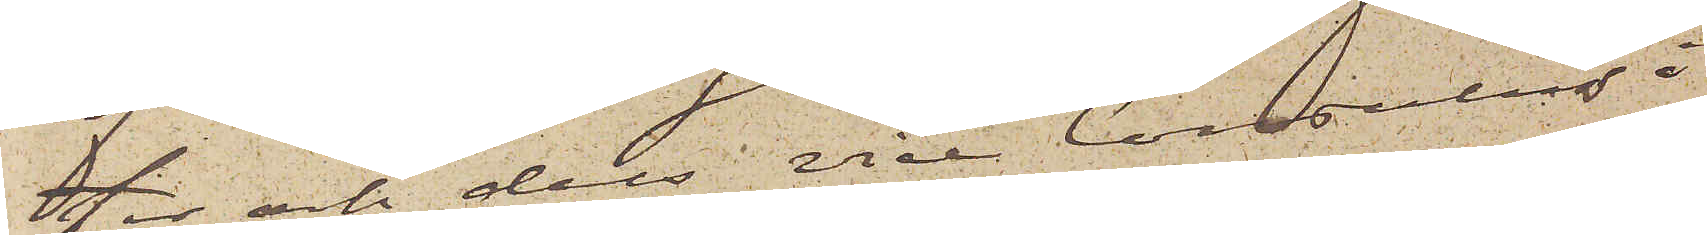ter och dels vice Consulns å
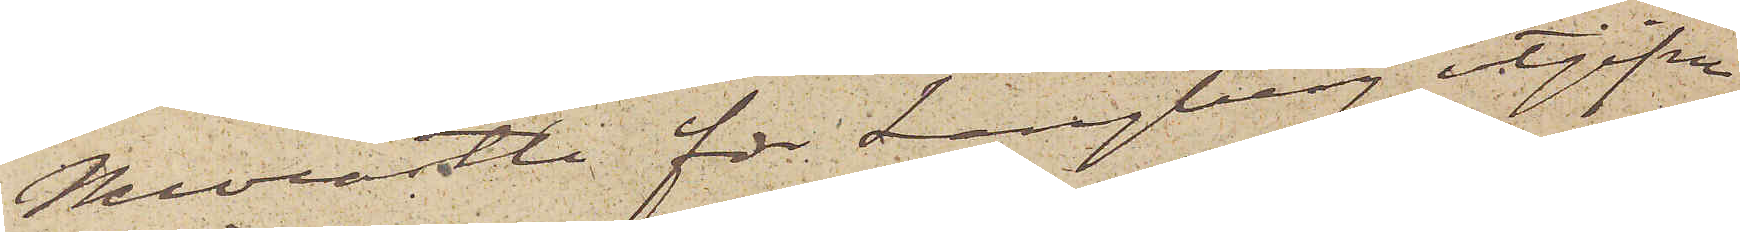Newcastle för Langberg utgifne
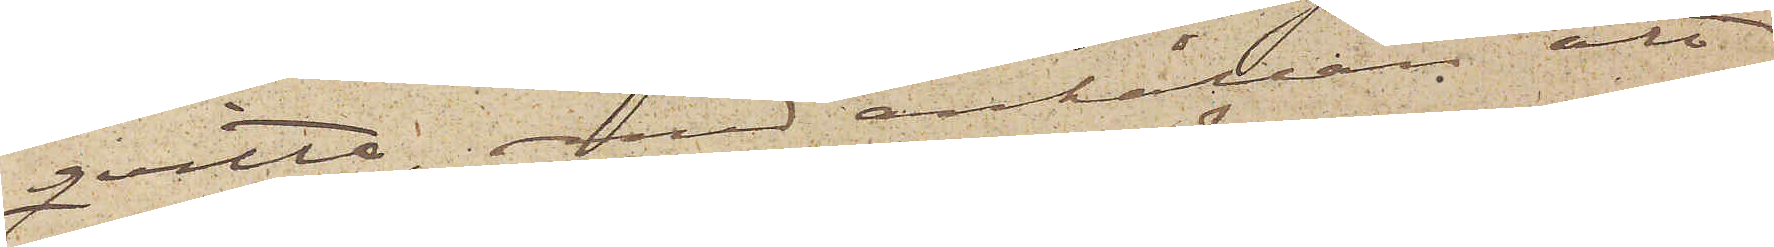qvitto, med anhållan att
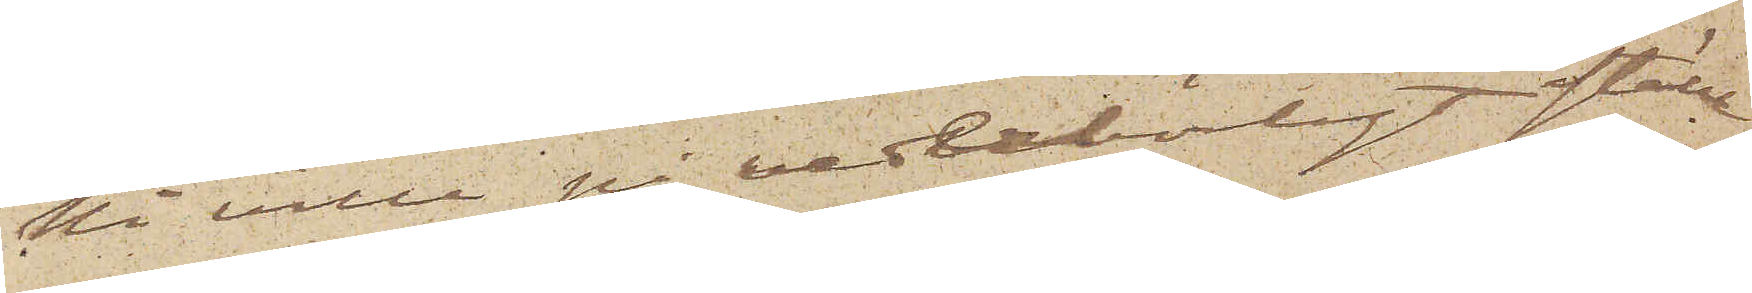Ni ville på vederbörligt ställe
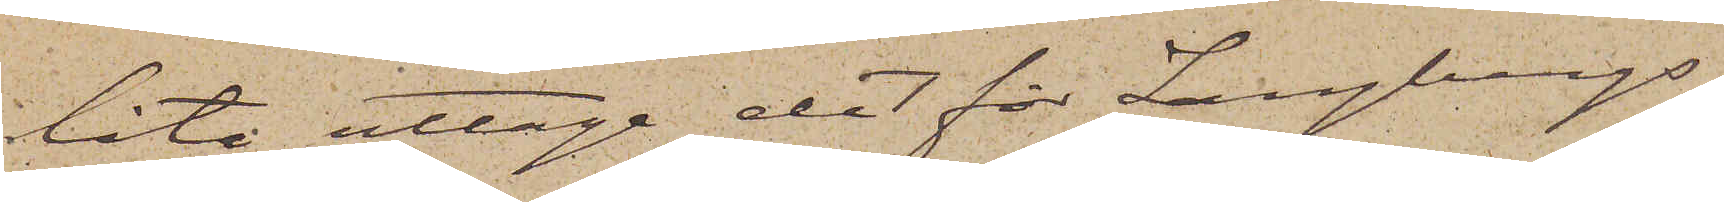låta uttaga det för Langbergs
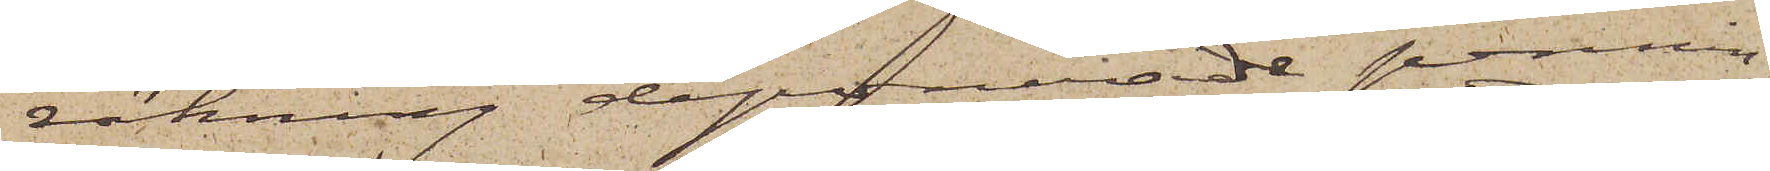räkning deponerade pennin¬
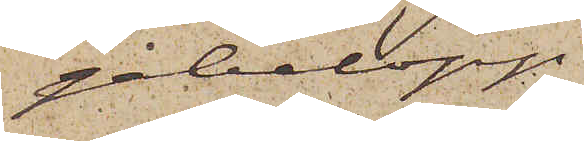gebelopp,
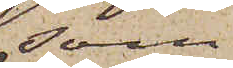som
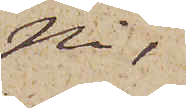Ni,
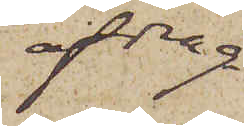afdrag
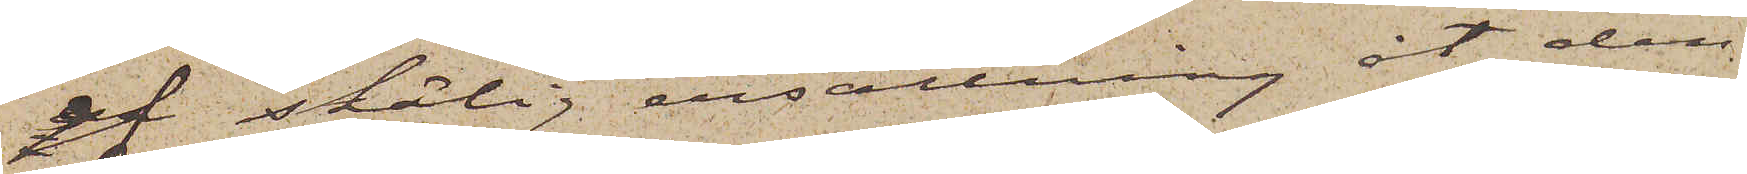af skälig ersättning åt den
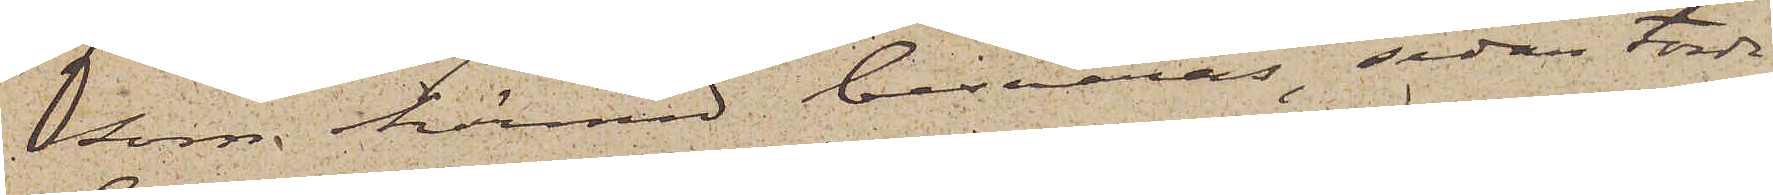som härmed besväras, sedan torde
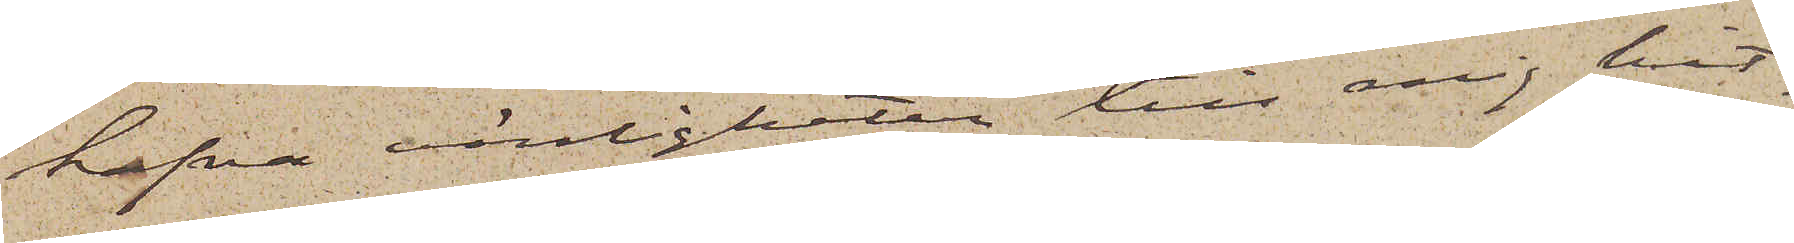hafva vänligheten till mig hit¬
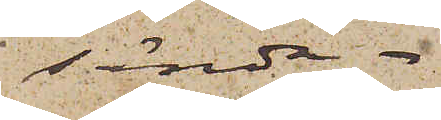sända.
